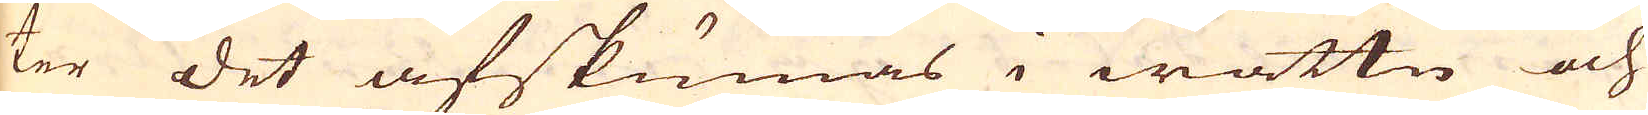ter det afskumas i wattn och
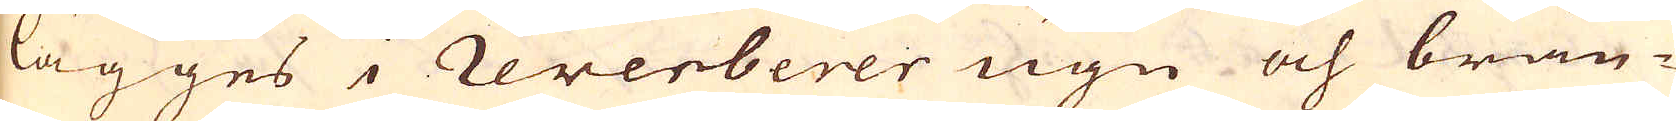lägges i reverberer ugn och brän-
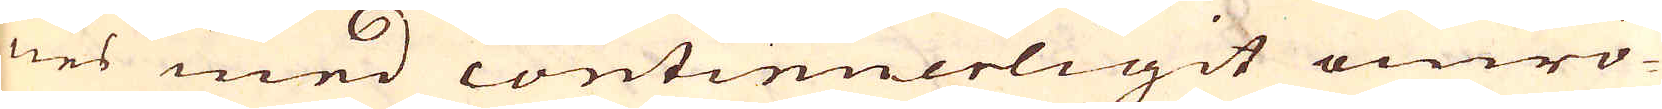nes med continuerligit omrö-
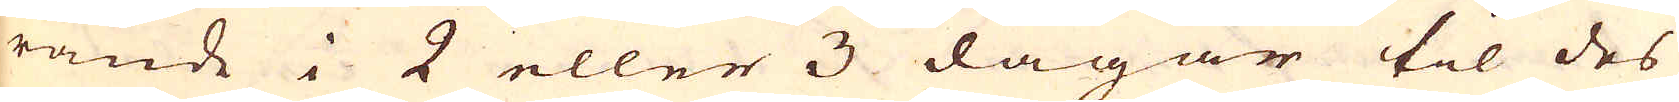rande i 2 eller 3 dagar til des
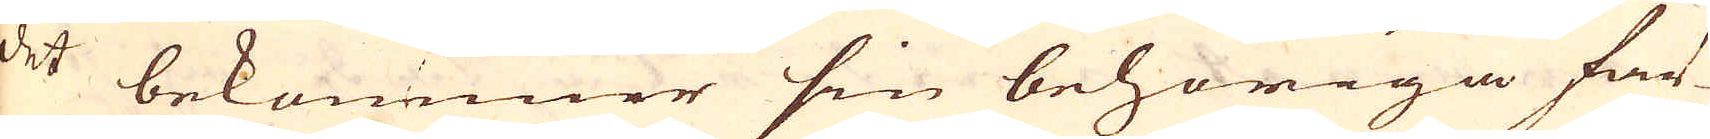det bekommer sin behöriga fär-
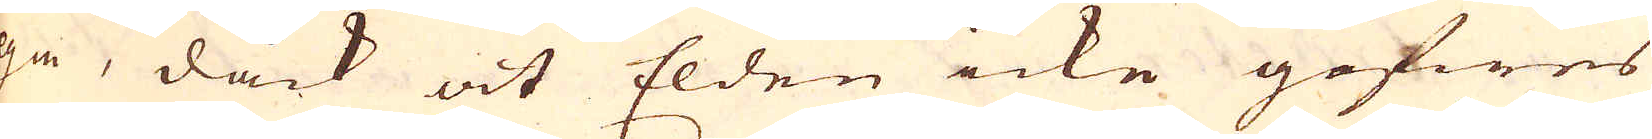ga, dåck at Elden icke gifwes
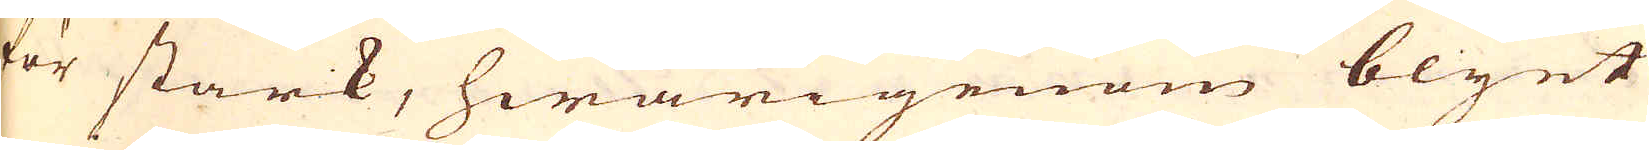för stark, hwarigenom blyet
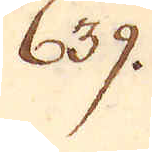639.
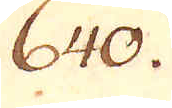640.
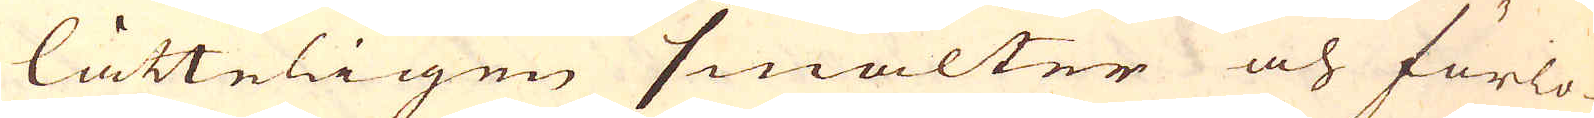lätteligen smälter och förlo-
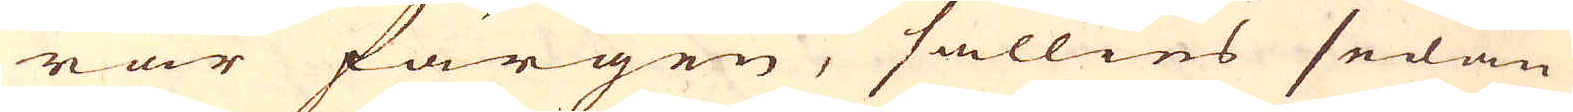rar färgen, sällies sedan
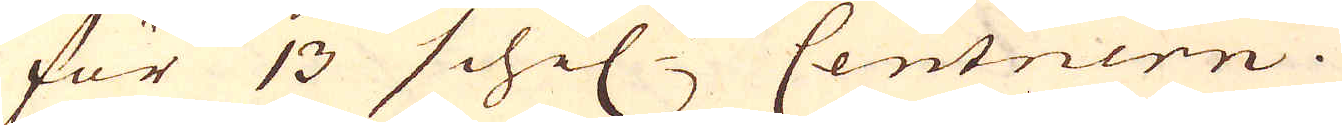för 13 schil:r Centnern.
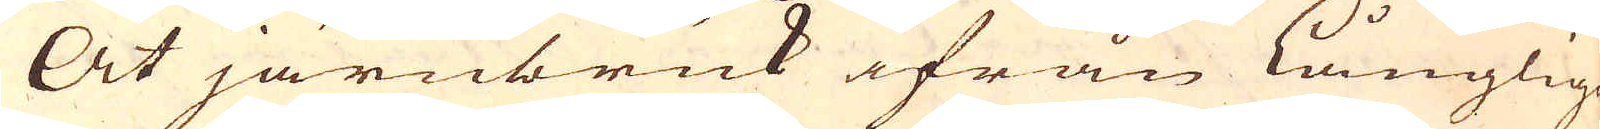At järnbruk ifrån Långlige
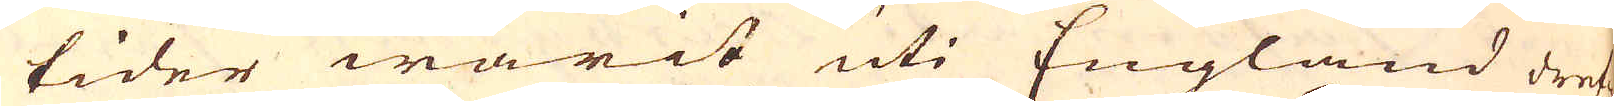tider warit uti England dref-
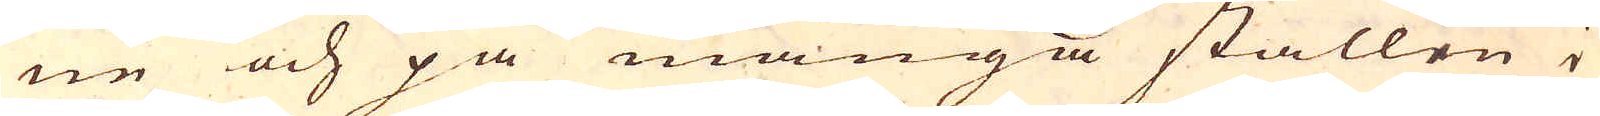ne och på många ställen i
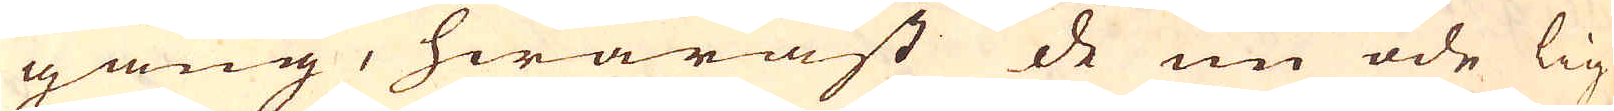gång, hwaräst de nu öde lig-
